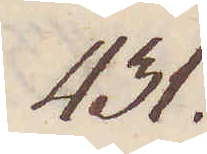431.
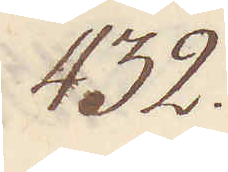432.
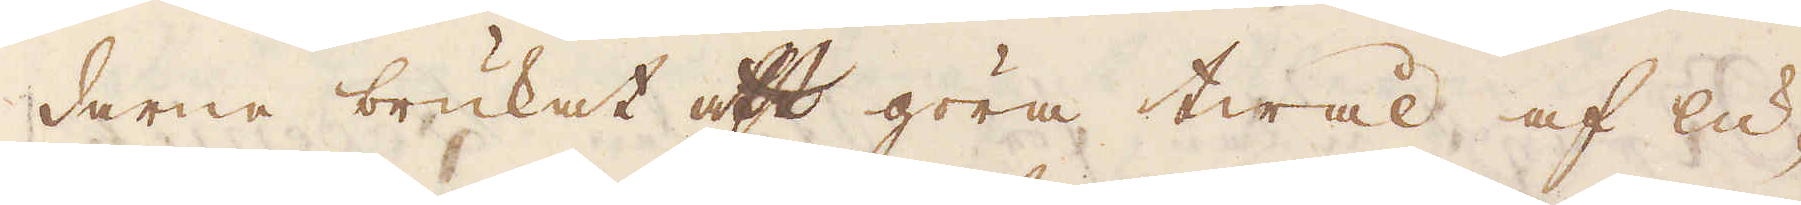darne brukat att göra twål af lu-
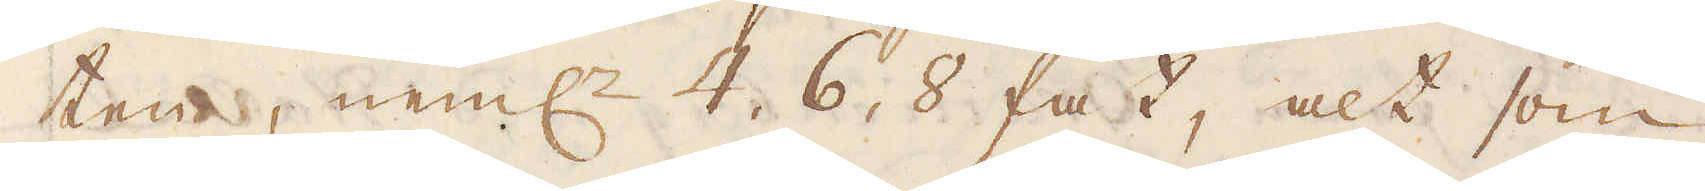ten, neml:n 4, 6, 8 fat, alt som
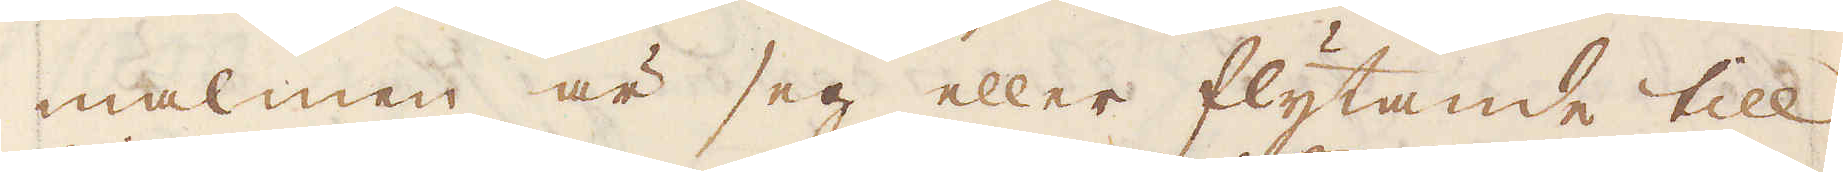malmen är seg eller flytande till.
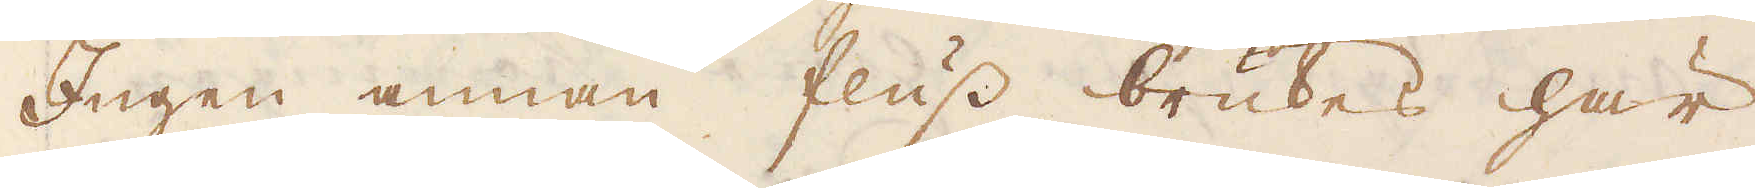Ingen annan fluss brukes här
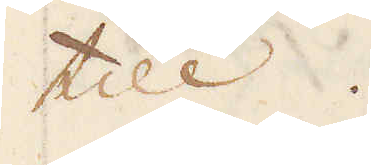till.
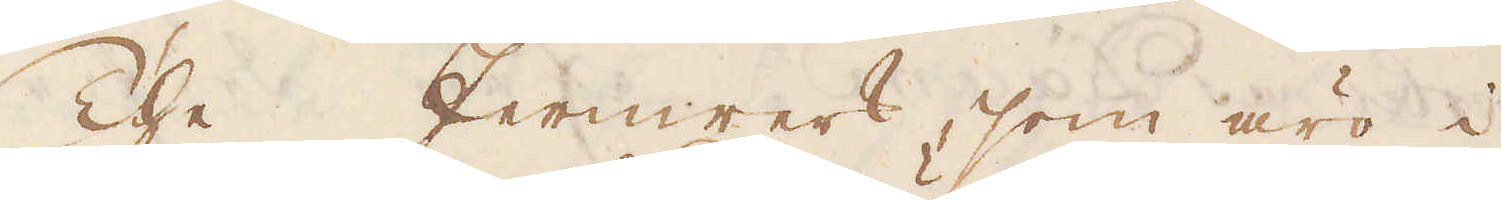The Jernwerk, som äro i
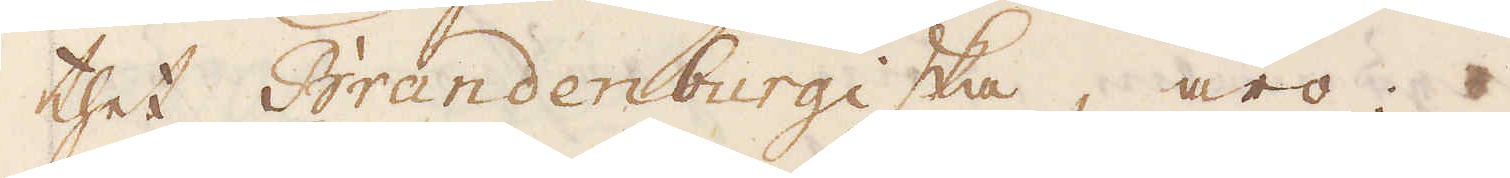thet Brandenburgiska, äro:
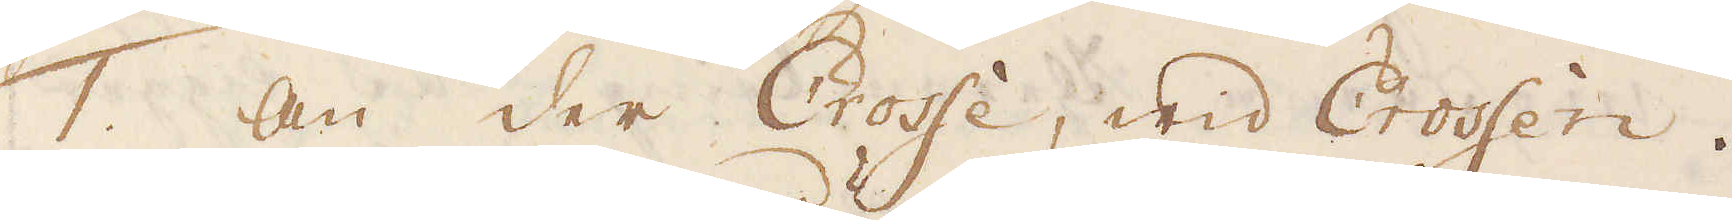1. An der Crosse, wid Crossen.
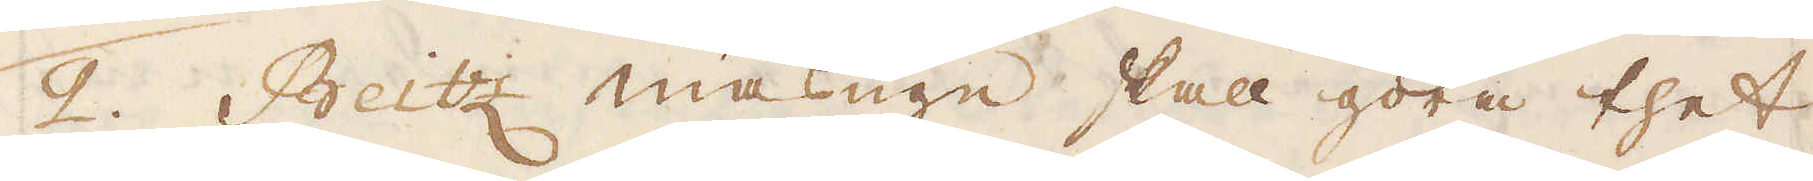2. Beitz masugn skall göra thet
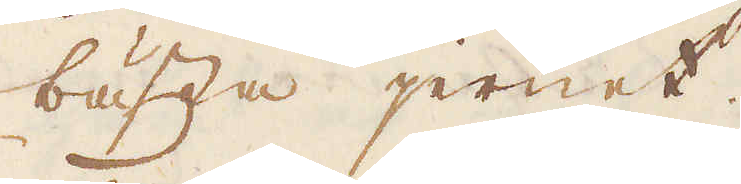bästa jernet.
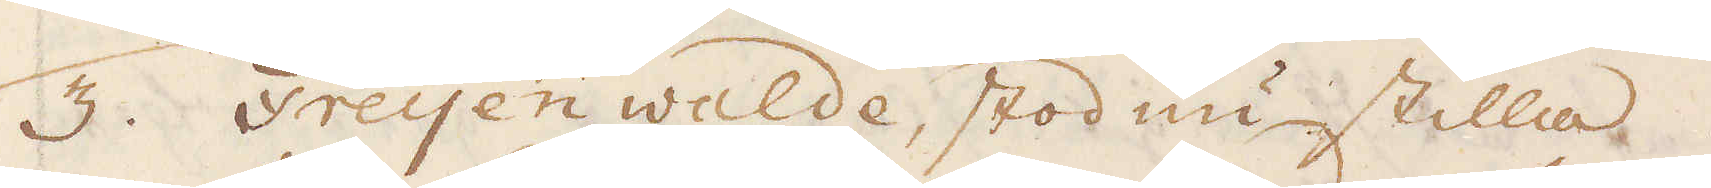3. Freijen walde, stod nu stilla.
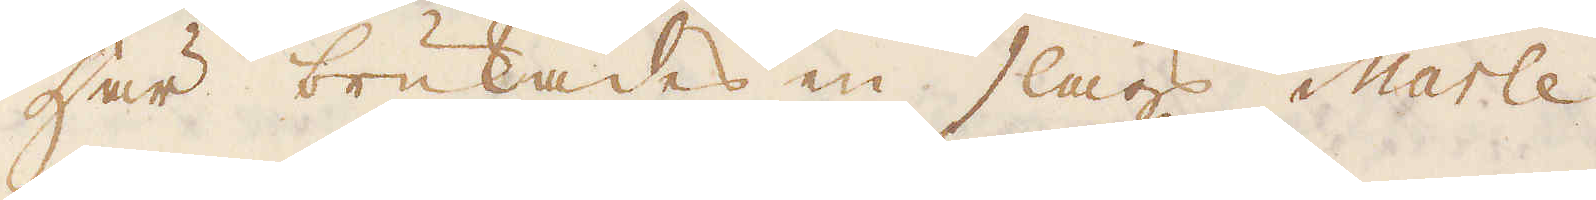Här brukades en slags Marle
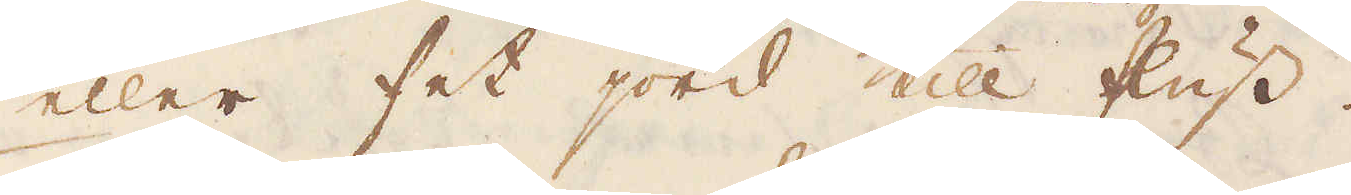eller fet jord till fluss.
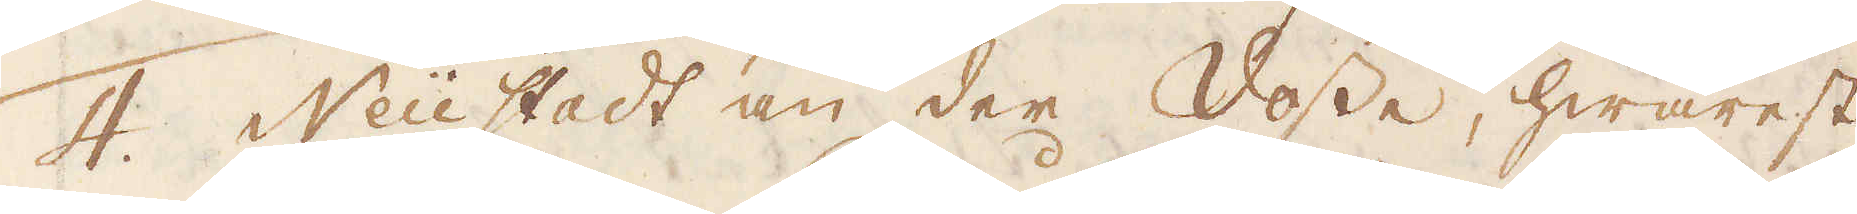4. Neüstadt an der Vosse, hwarest
